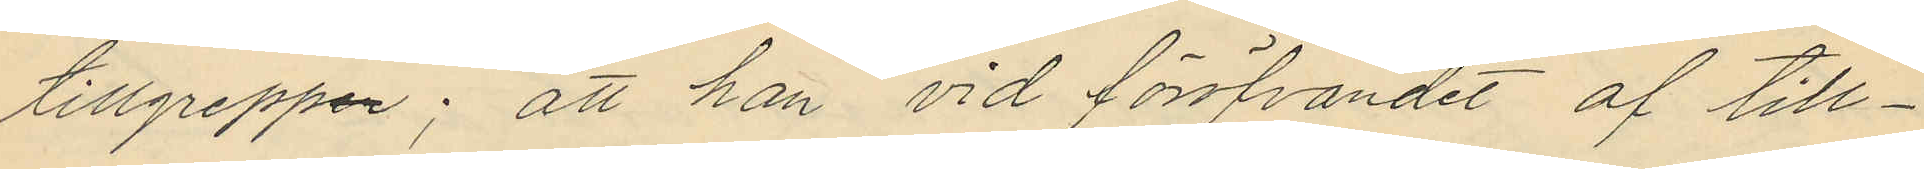tillgreppen; att han vid föröfvandet af till¬
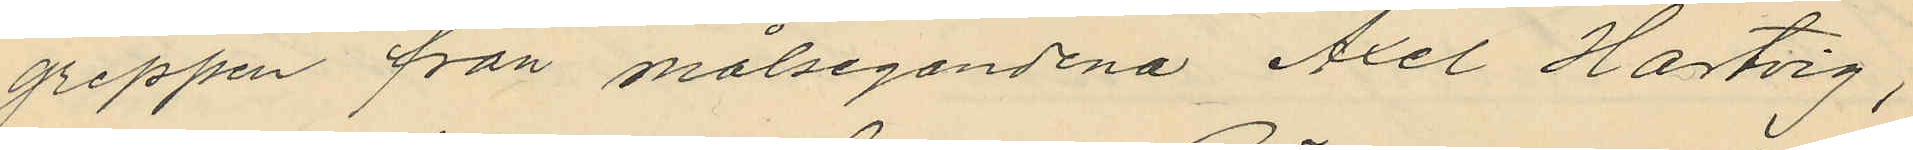greppen från målsegandena Axel Hartvig,
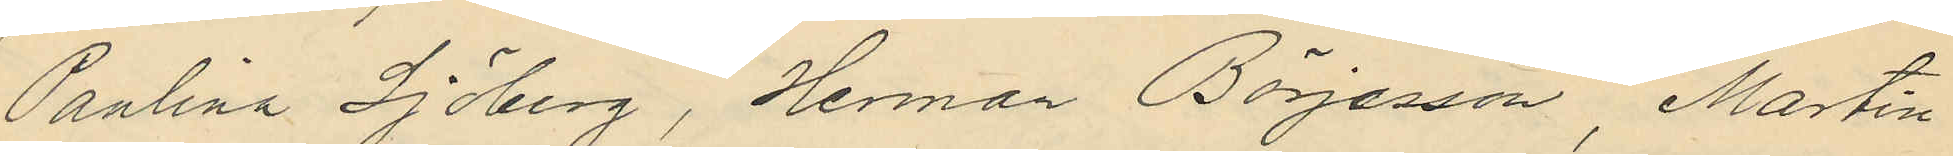Paulina Sjöberg, Herman Börjesson, Martin
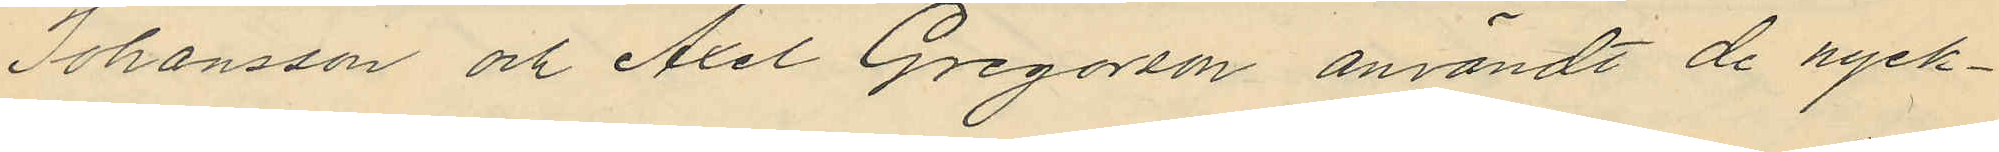Johansson och Axel Gregorson användt de nyck¬
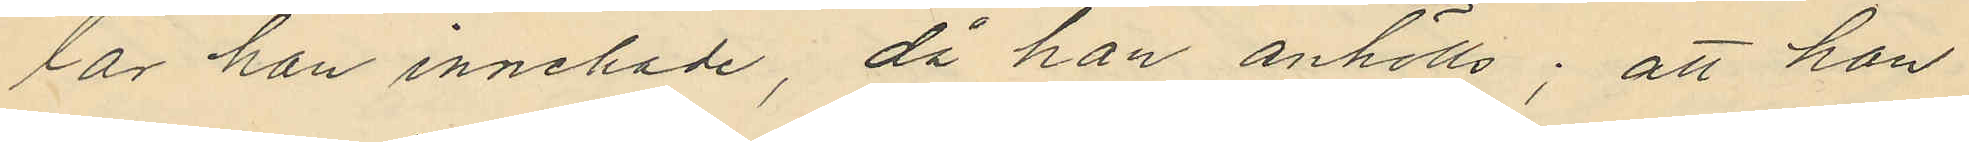lar han innehade, då han anhölls; att han
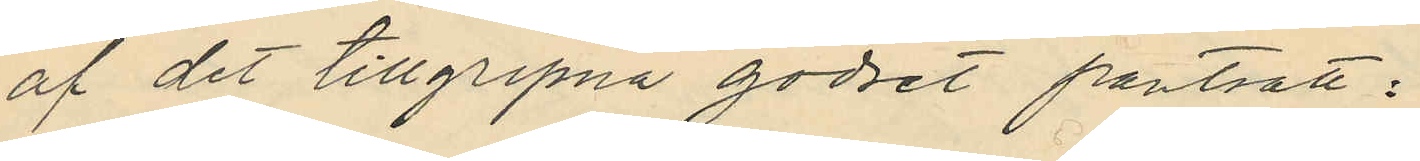af det tillgripna godset pantsatt:
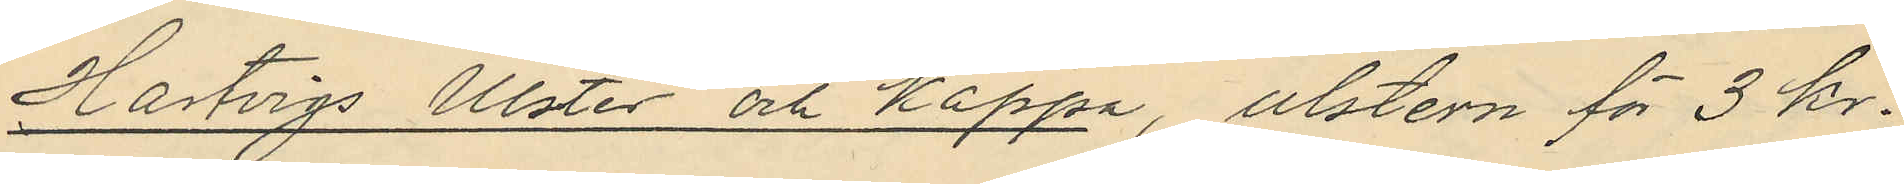Hartvigs Ulster och kappa, ulstern för 3 kr.
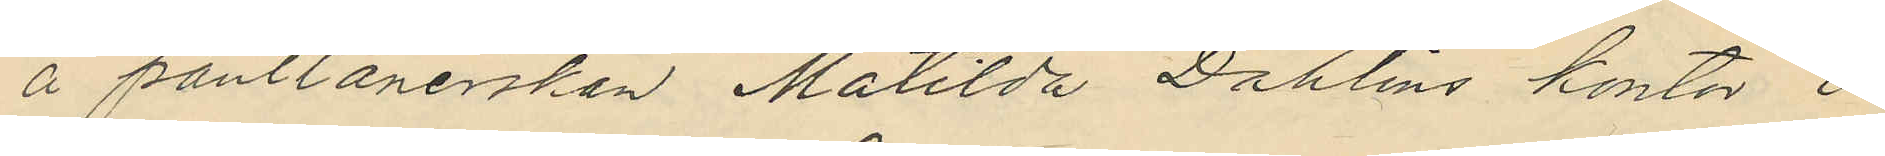å pantlånerskan Matilda Dahlins kontor i
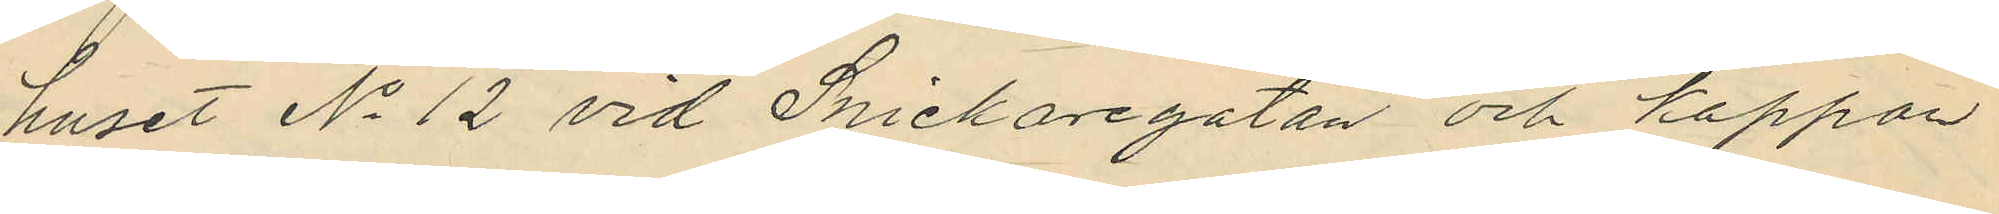huset No 12 vid Snickaregatan och kappan
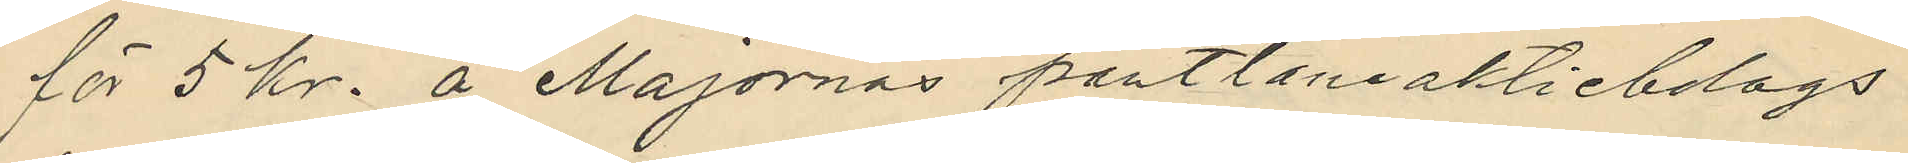för 5 kr. å Majornas pantlåneaktiebolags
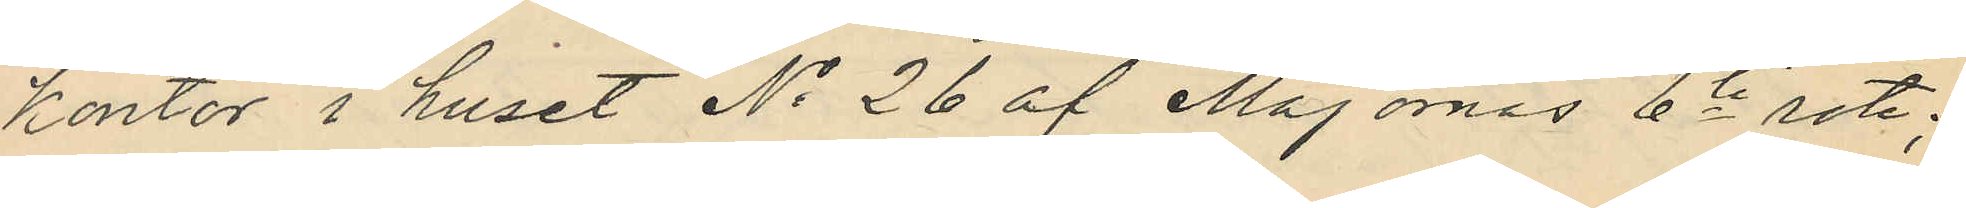kontor i huset No 26 af Majornas 6te rote;
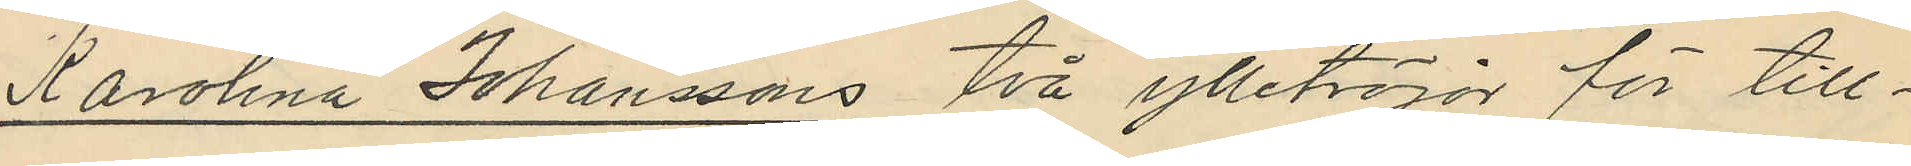Karolina Johanssons två ylletröjor för till¬
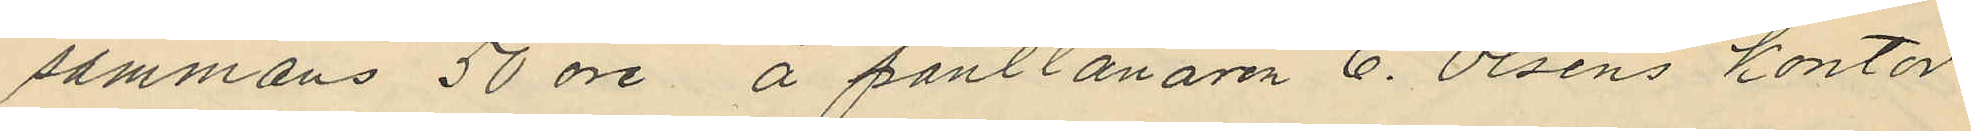sammans 50 öre, å pantlånaren C. Olséns kontor
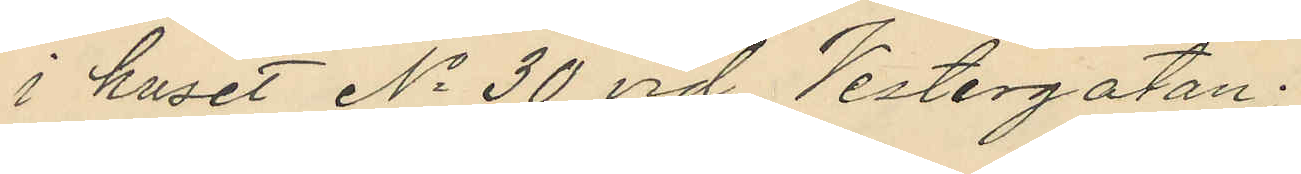i huset No 30 vid Vestergatan.
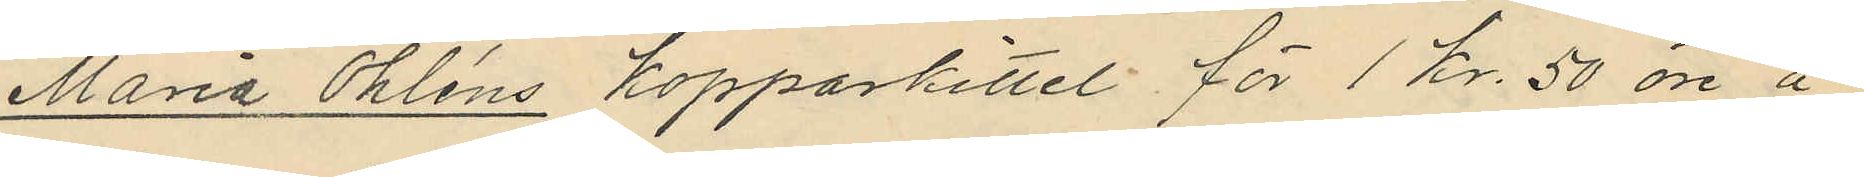Maria Öhléns kopparkittel för 1 kr. 50 öre å
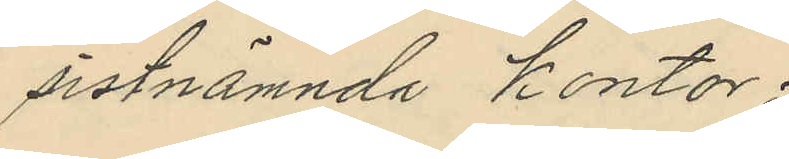sistnämnda kontor.
